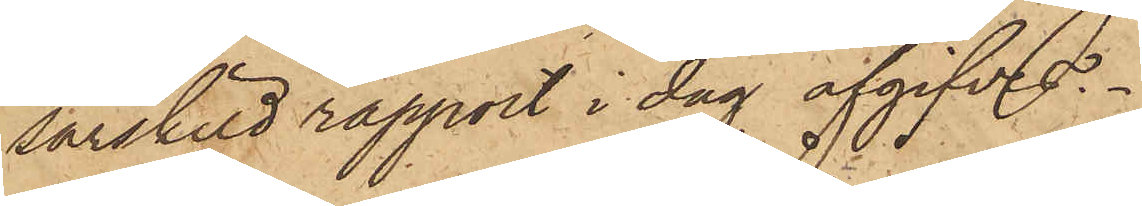särskild rapport i dag afgifves.
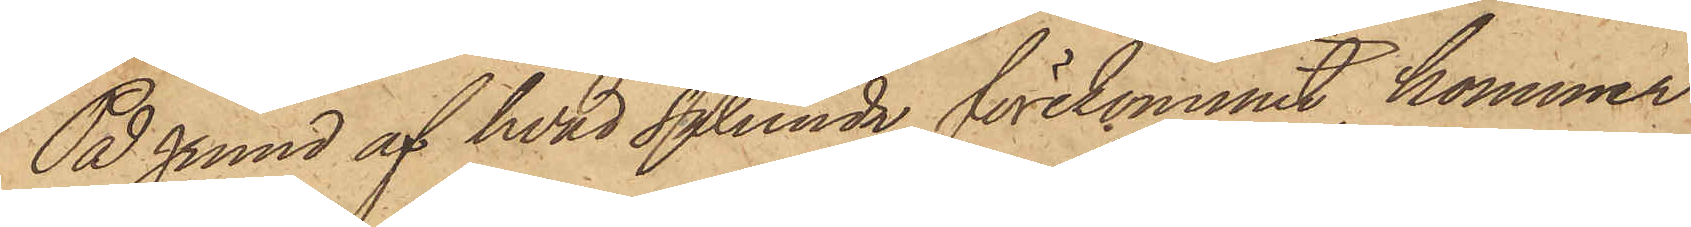På grund af hvad sålunda förekommit, kommer
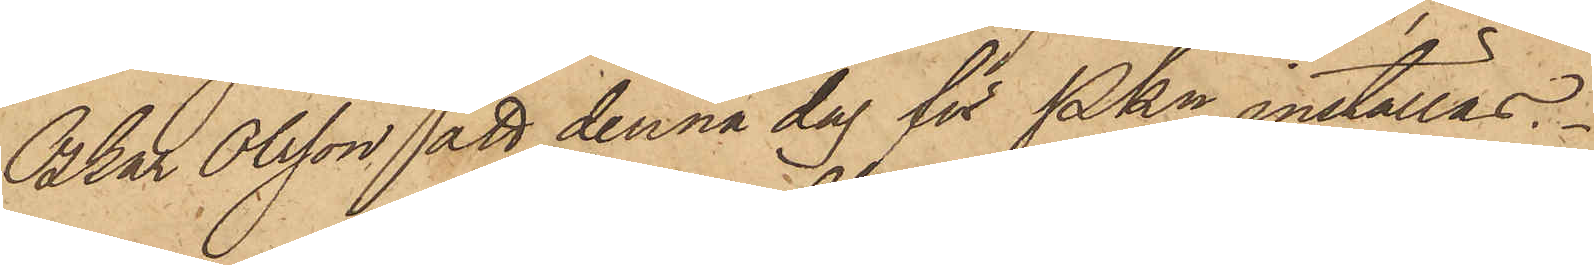Oskar Olsson att denna dag för Pkn inställas.
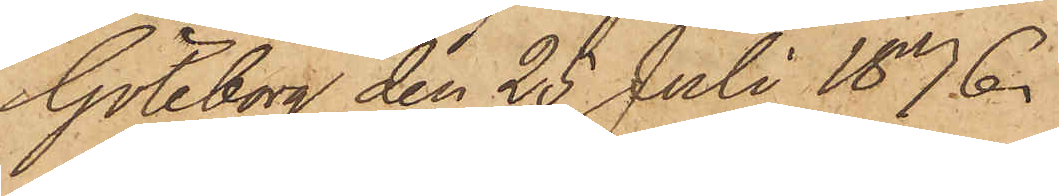Göteborg den 25 Juli 1876.
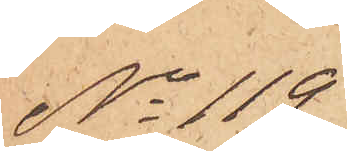No 119
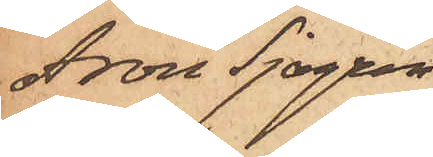Aron Sjögren
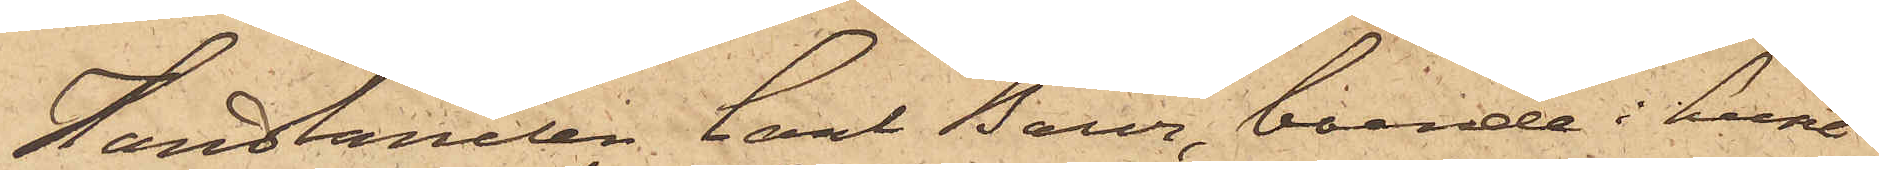Handlanden Carl Baur, boende i huset
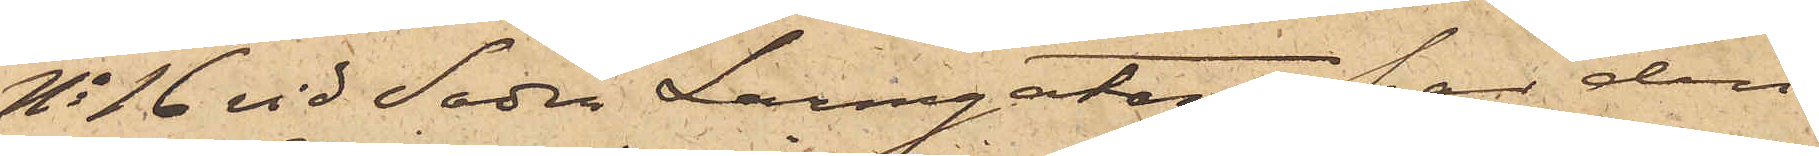No 16 vid Södra Larmgatan, har den
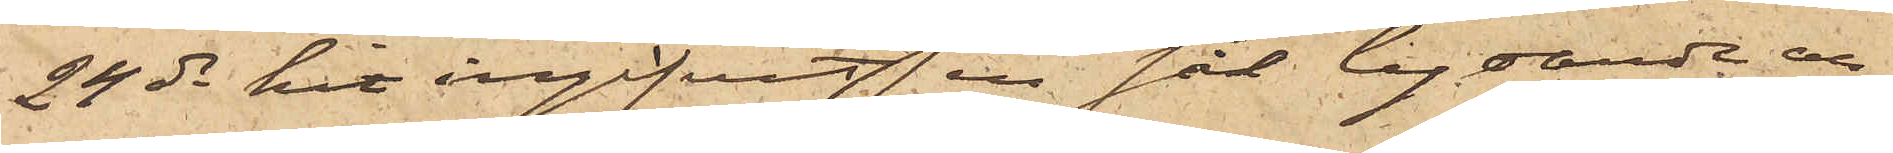24 ds hit ingifvit en sål. lydande an¬
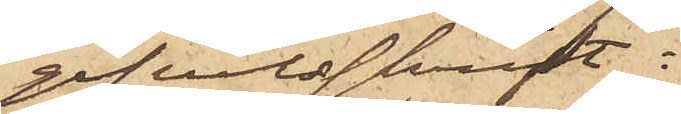gifvelseskrift:
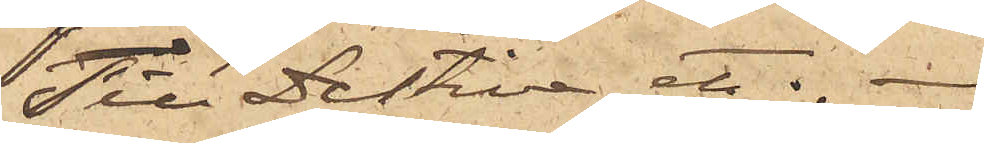Till Detektiva etc. 
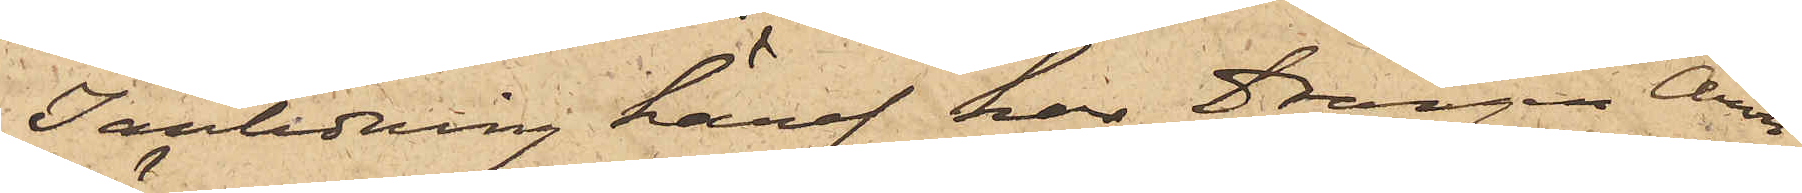I anledning häraf har Drängen Aron
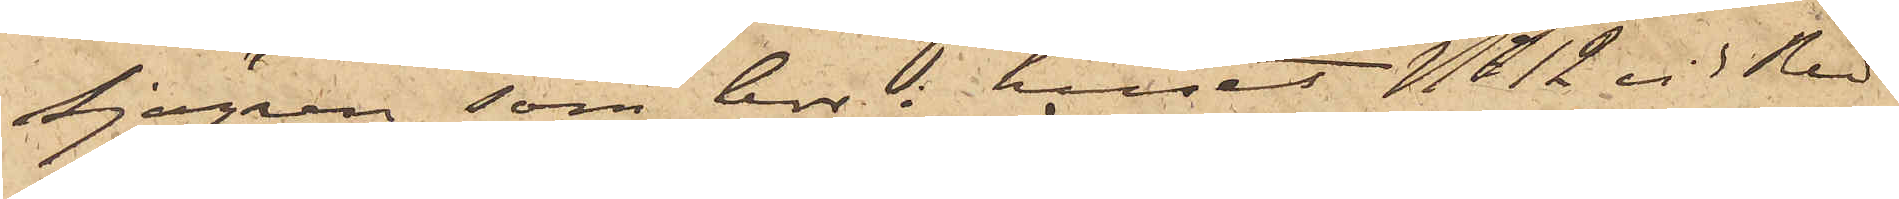Sjögren, som bor i huset No 12 vid Red¬
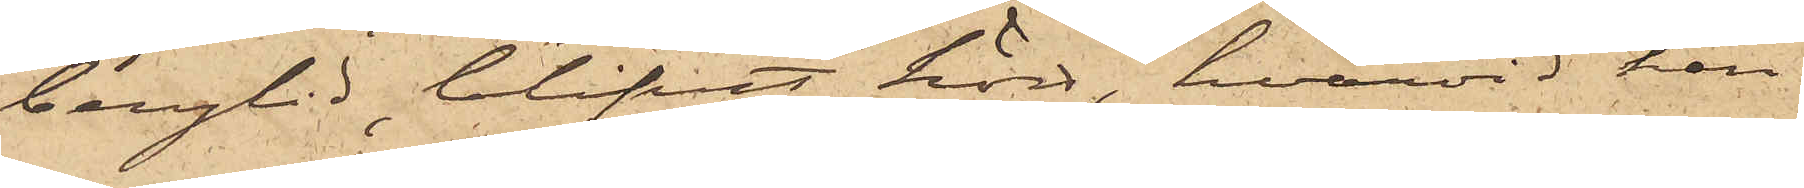bergslid,  blifvit hörd, hvarvid han
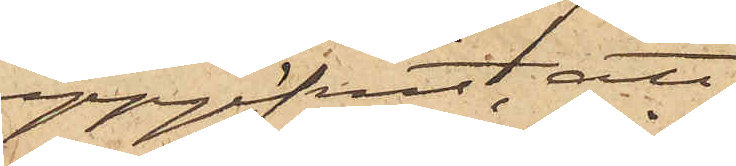uppgifvit, att
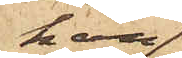han
